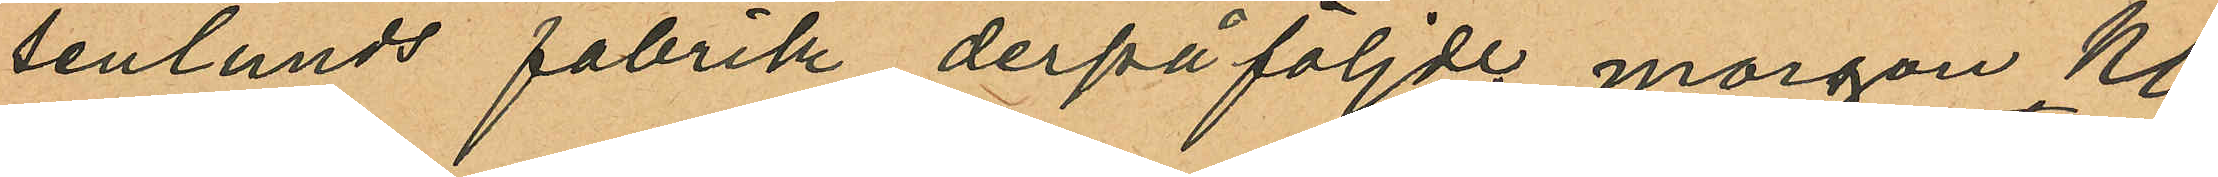senlunds fabrik derpåföljde morgon Kl.
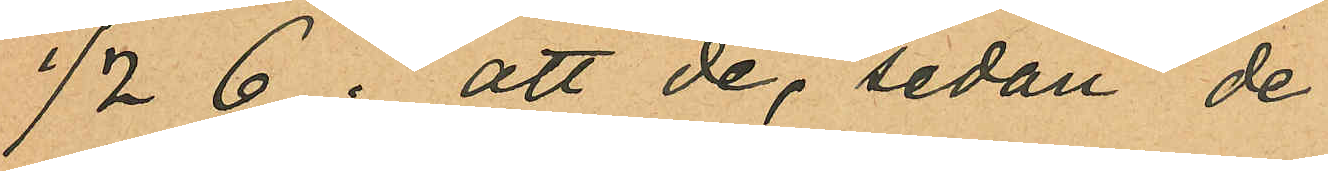½ 6; att de, sedan de
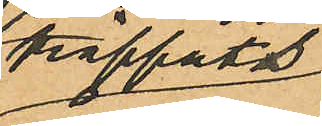träffats
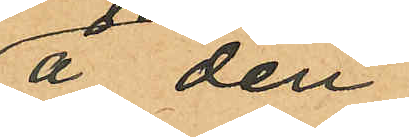å den
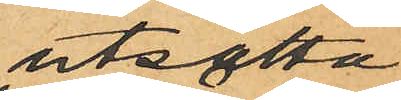utsatta
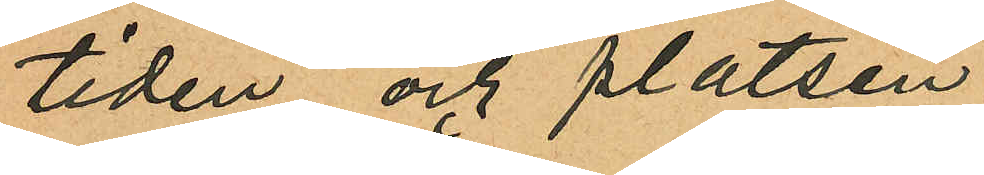tiden och platsen
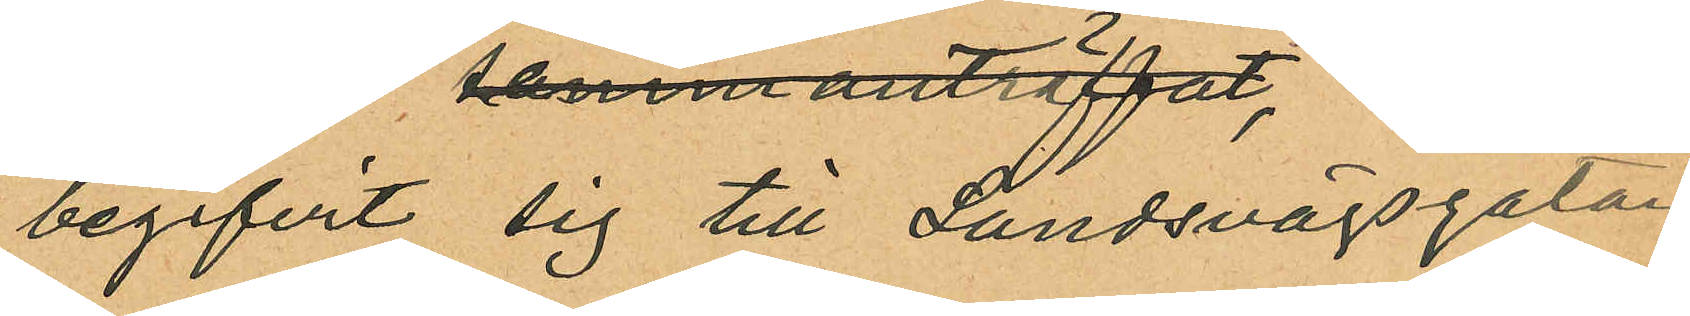begifvit sig till Landsvägsgatan;
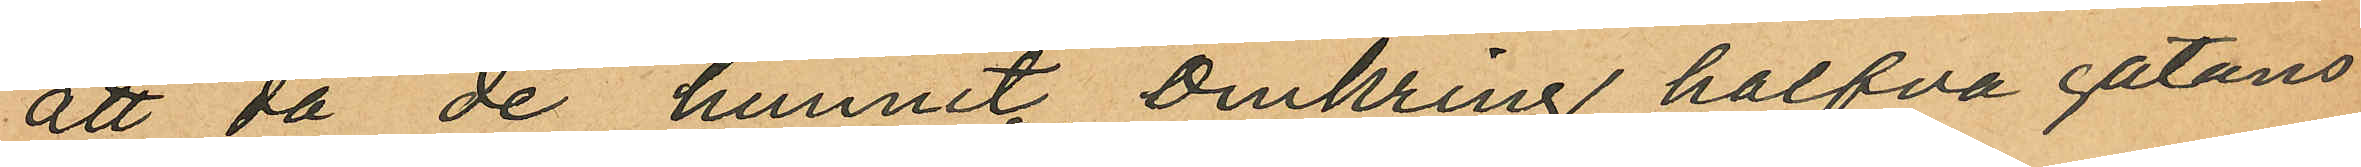att då de hunnit omkring halfva gatans
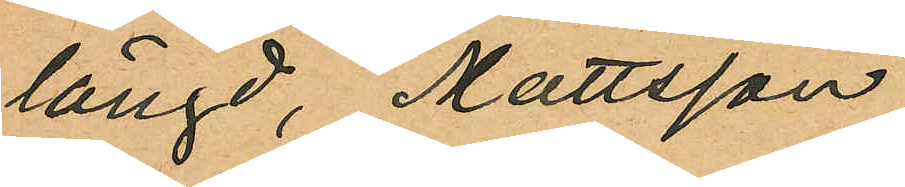längd, Mattsson
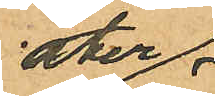åter
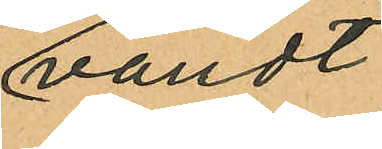vändt
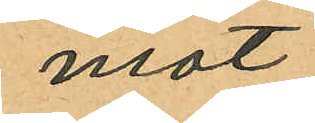mot
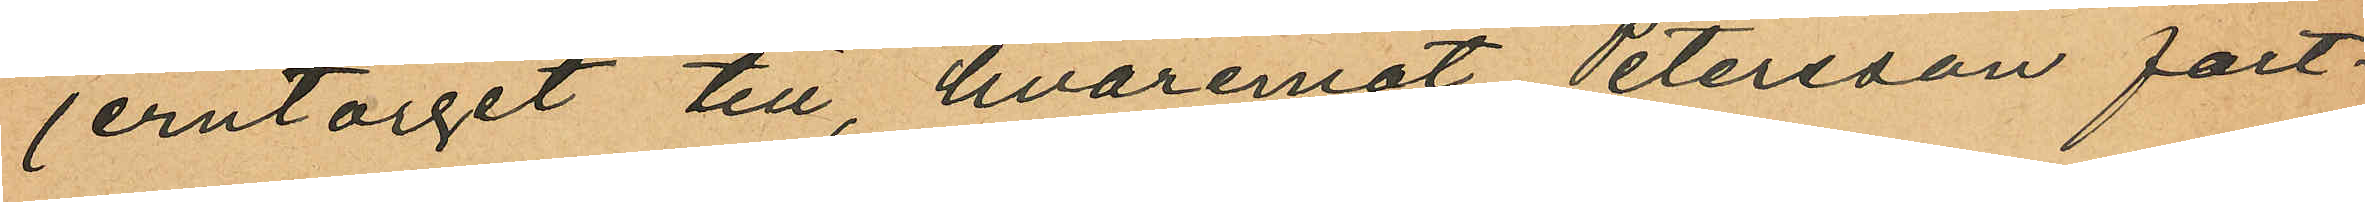jerntorget till, hvaremot Petersson fort¬
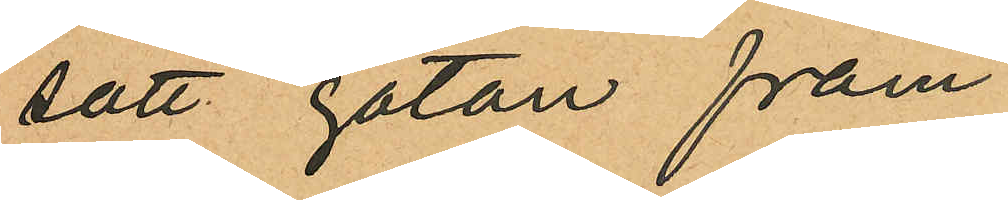satt gatan fram
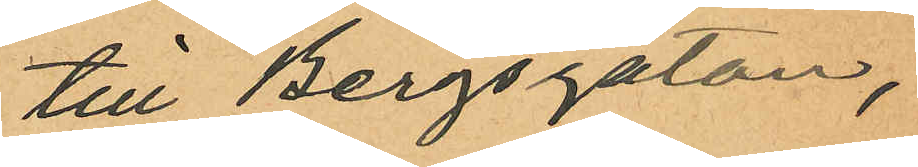till Bergsgatan,
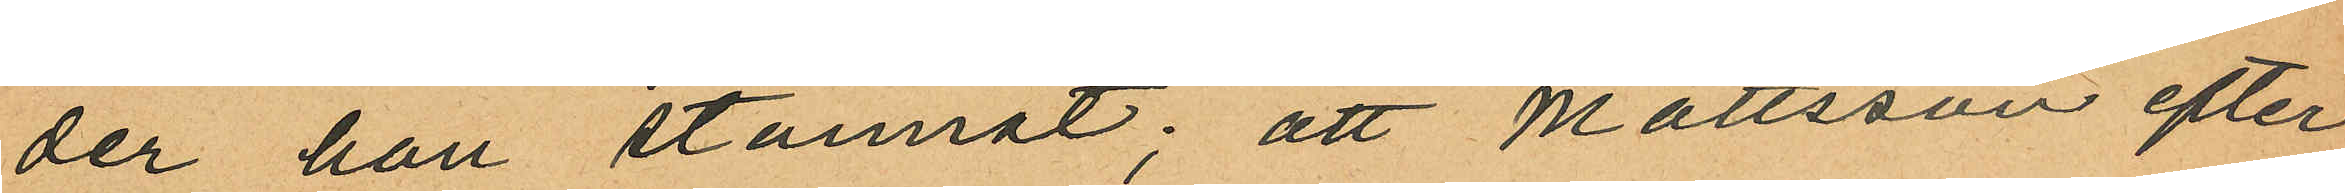der han stannat; att Mattsson efter
